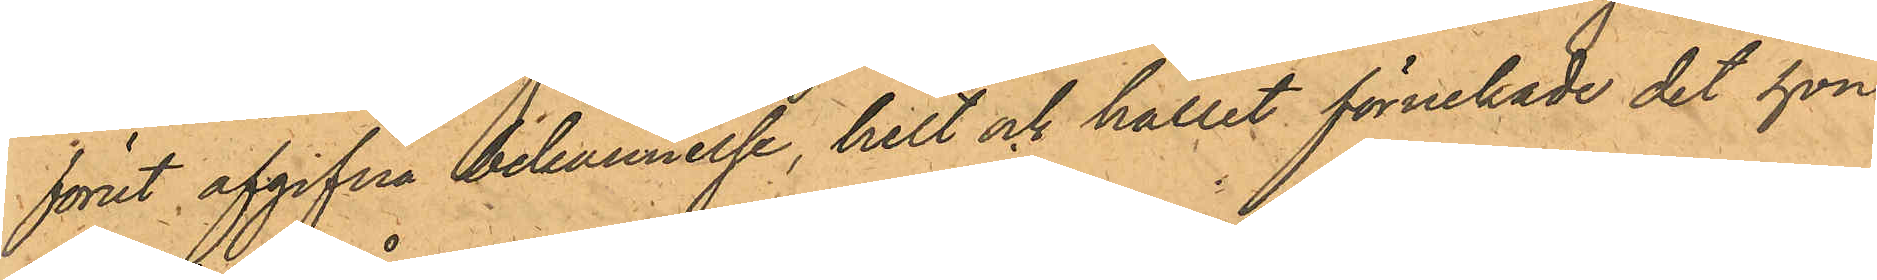förut afgifna bekännelse, helt och hållet förnekade det hon
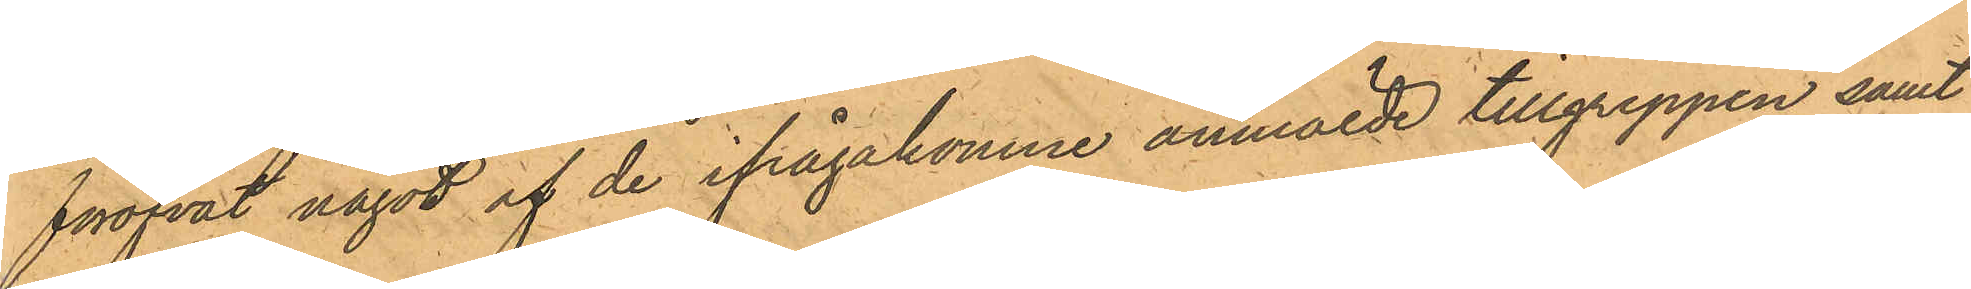föröfvat något af de ifrågakomne anmälde tillgreppen samt
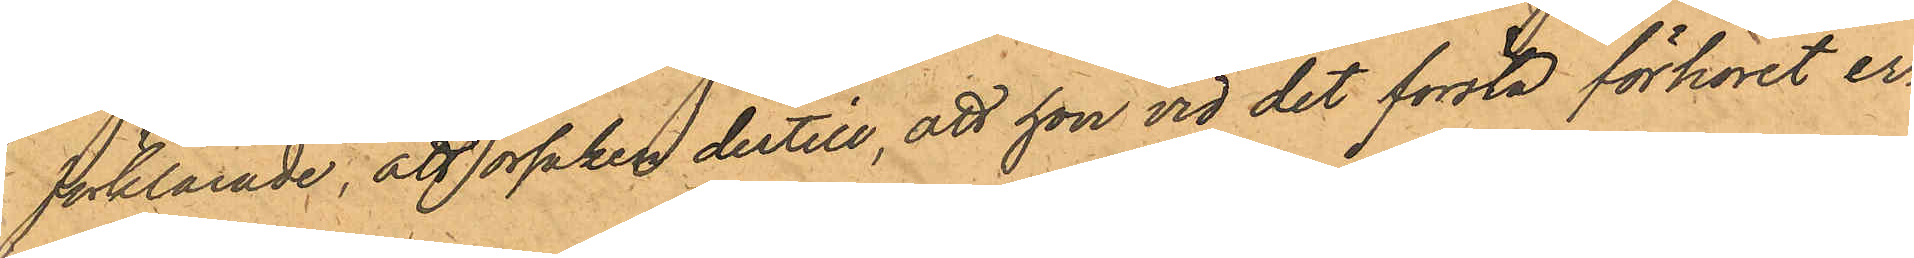förklarade; att orsaken dertill, att hon vid det första förhöret er¬
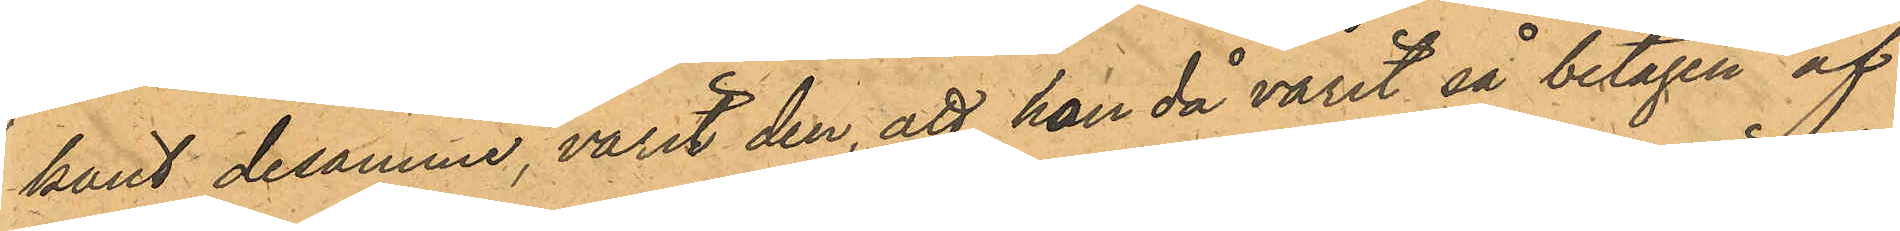känt desamme, varit den, att han då varit så betagen af
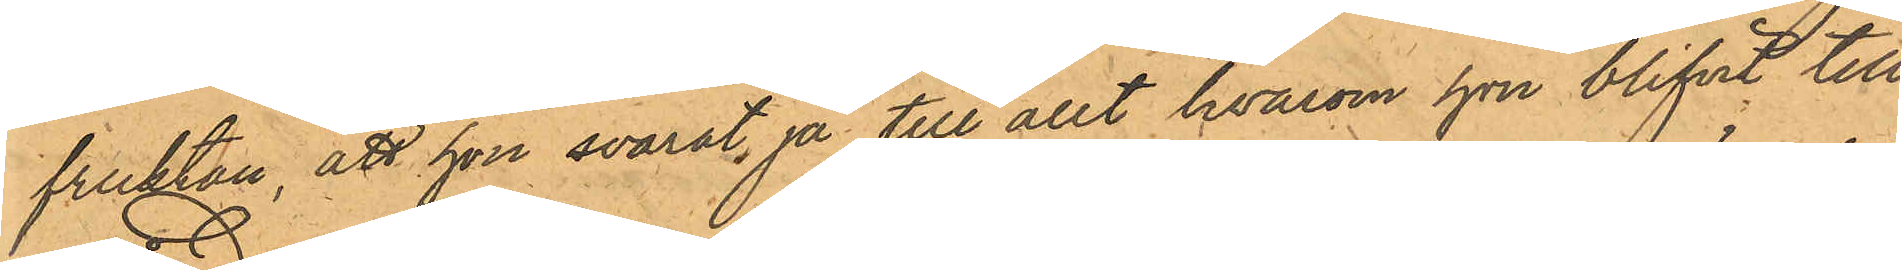fruktan, att hon svarat ja till allt hvarom hon blifvit till¬
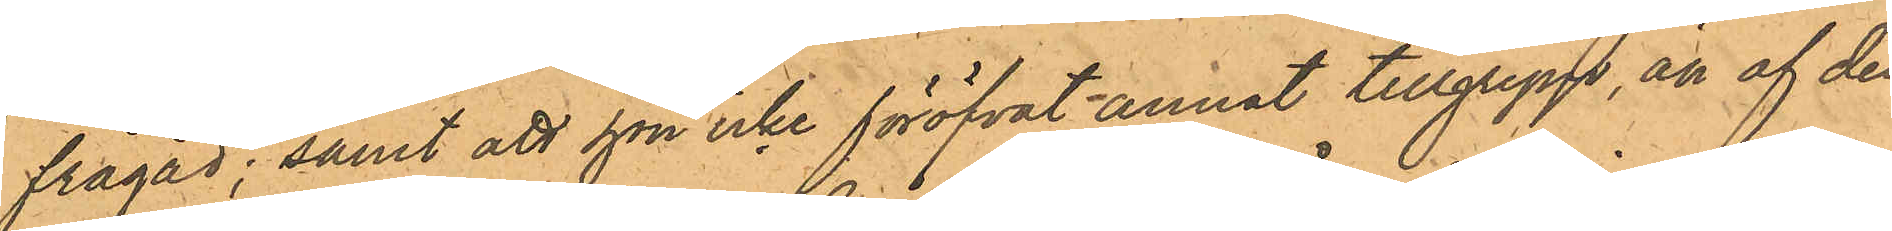frågad; samt att hon icke föröfvat annat tillgrepp, att af den
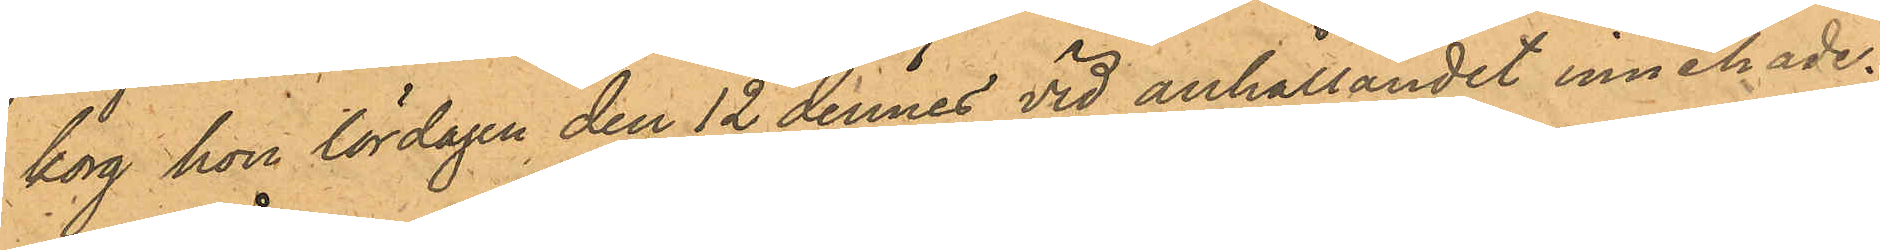korg hon lördagen den 12 dennes vid anhållandet innehade.
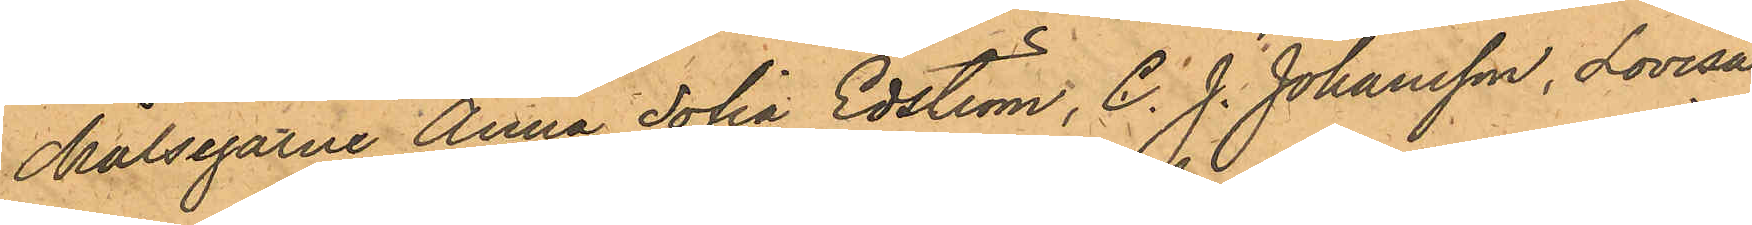Målsegarne Anna Joha Edström, C. J. Johansson, Lovisa
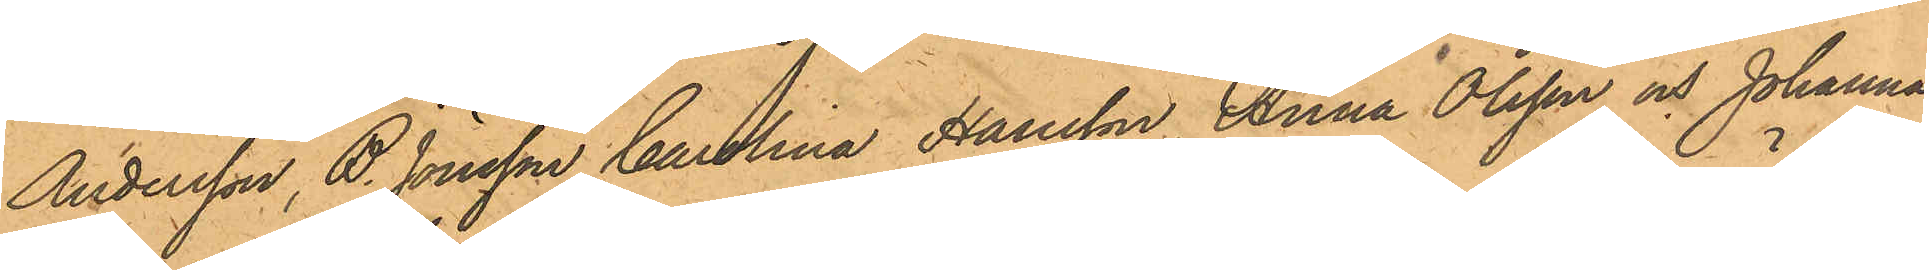Andersson, B. Jönsson, Carolina Hansson, Anna Olsson och Johanna
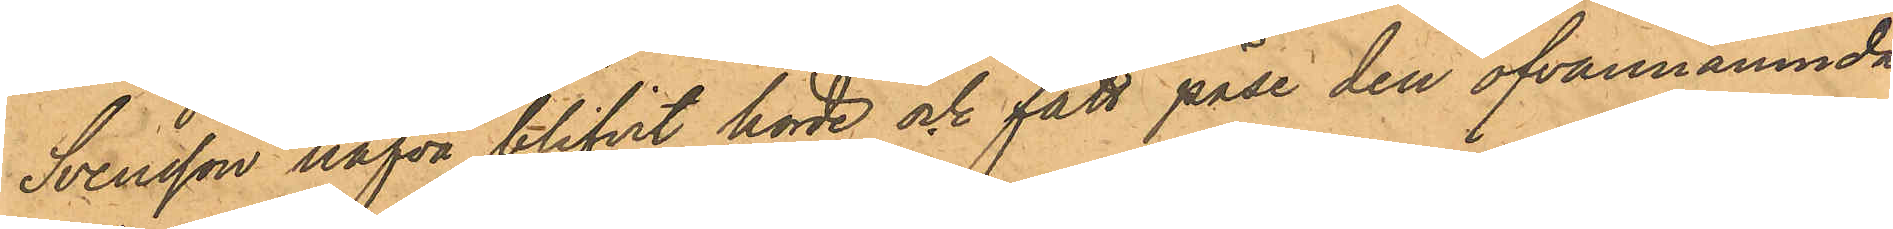Svensson hafva blifvit hörde och fått påse den ofvannämnda
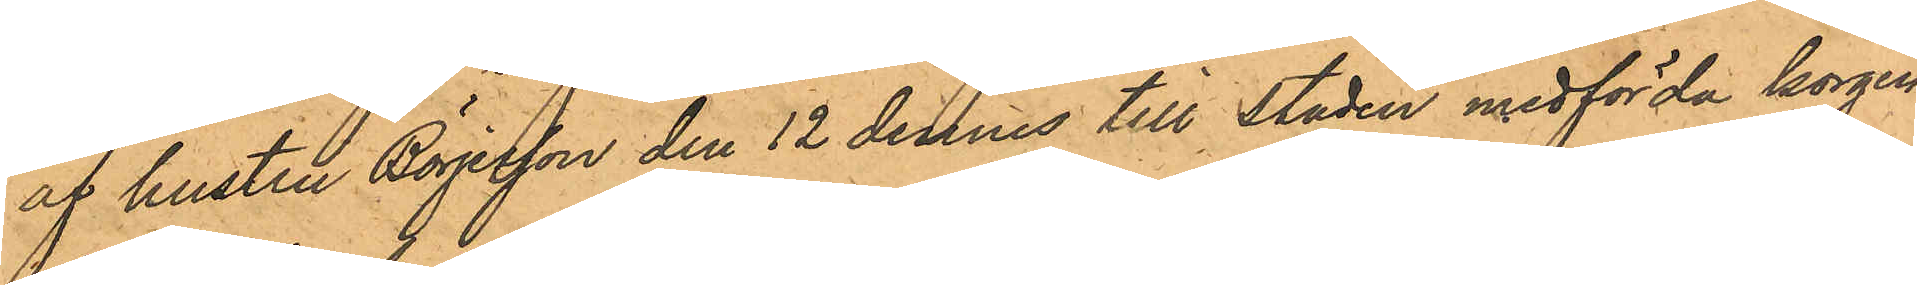af hustru Börjesson den 12 dennes till staden medförda korgen,
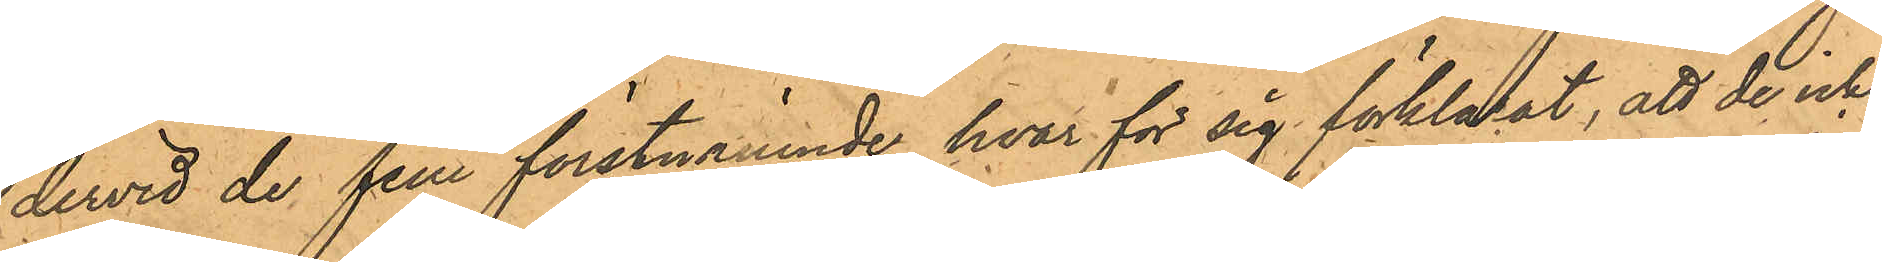dervid de fem förstnämnde hvar för sig förklarat, att de icke
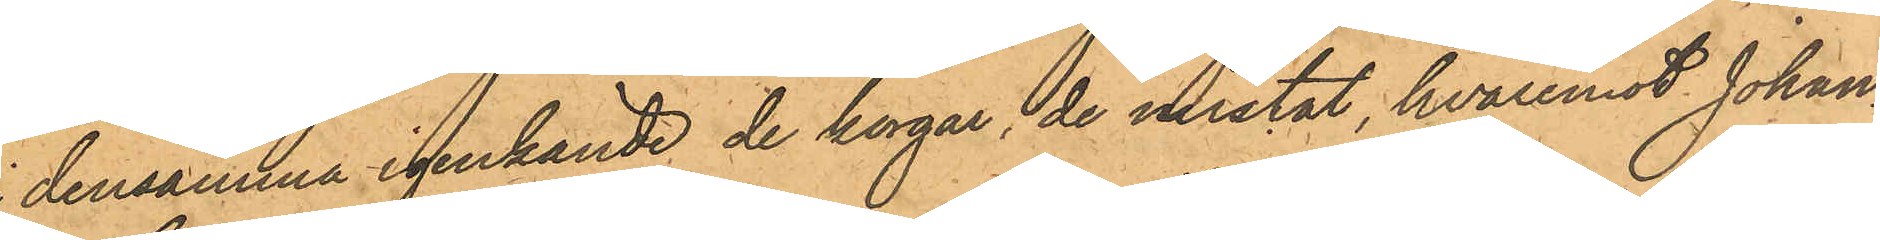densamma igenkände de korgar, de mistat, hvaremot Johan¬
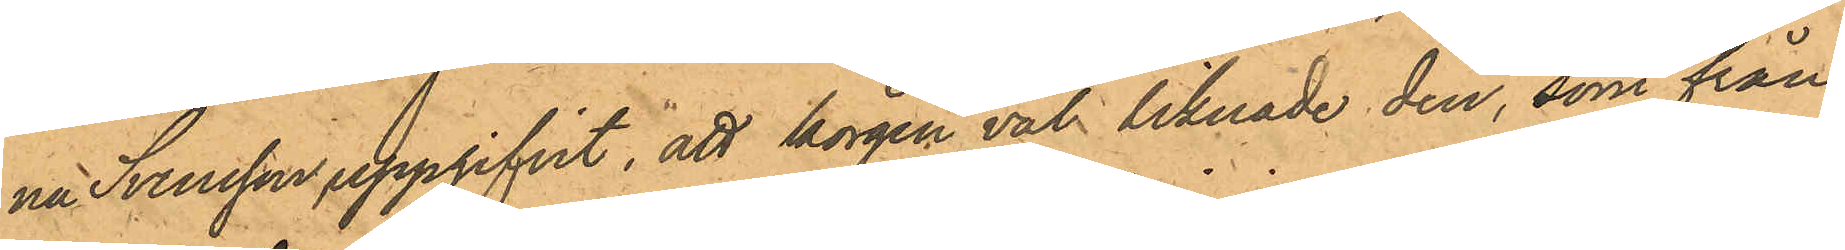na Svensson uppgifvit, att korgen väl liknade den, som från
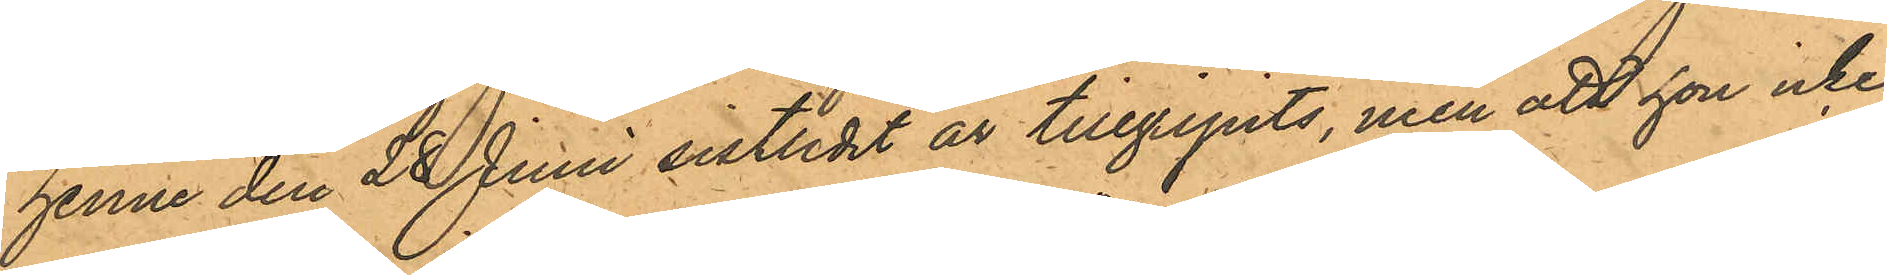henne den 28 Juni sistlidet år tillgripits, men att hon icke
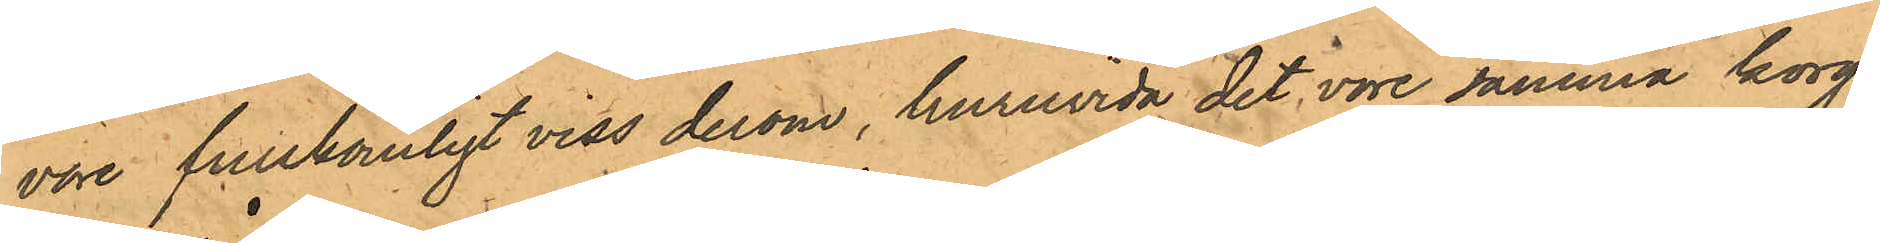vore fullkomligt viss derom, huruvida det vore samma korg.
